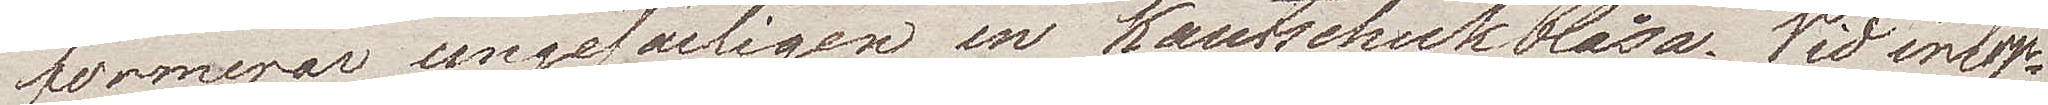formerar ungefärligen en kautschukblåsa. Vid inlop¬
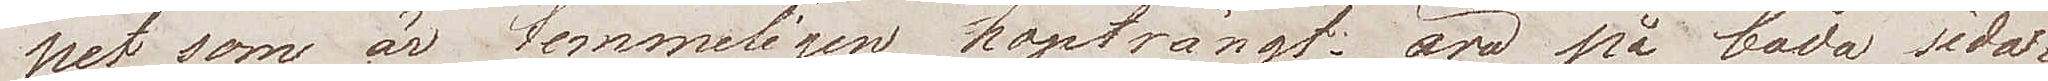pet som är temmeligen hopträngt, äro på båda sidor
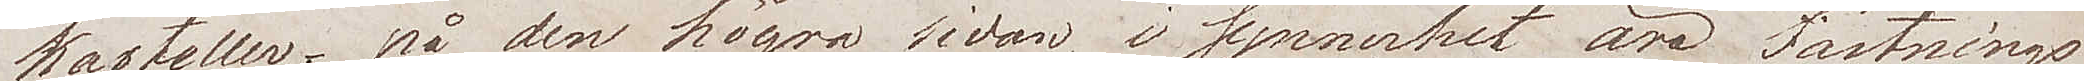kasteller; på den högra sidan i synnerhet äro Fästnings¬
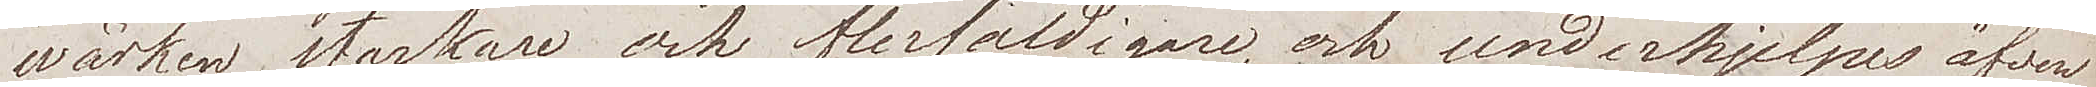wärken starkare och flerfaldigare och underhjelpes äfven
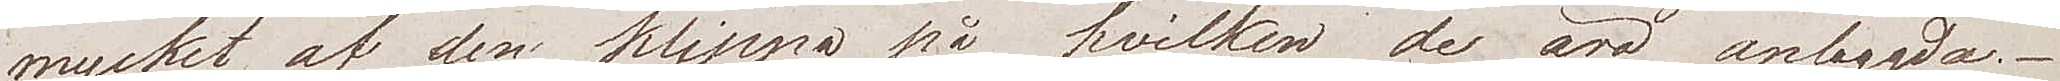mycket af den klippa  på hvilken de äro anbygda.
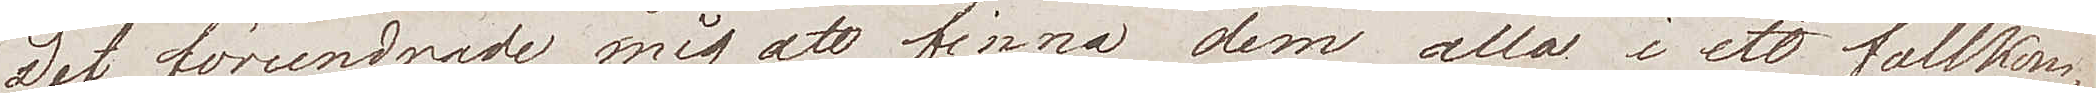Det förundrade mig att finna dem alla i ett fullkom¬
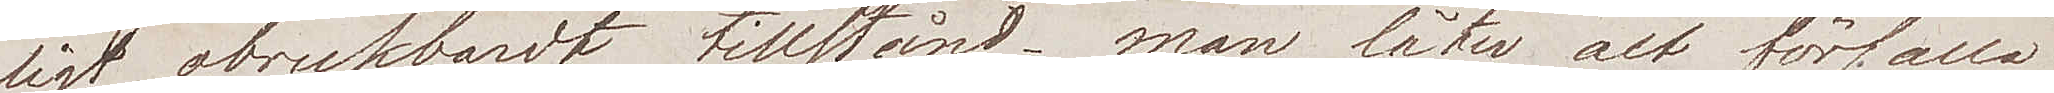ligt obrukbart tillstånd; man låter alt förfalla
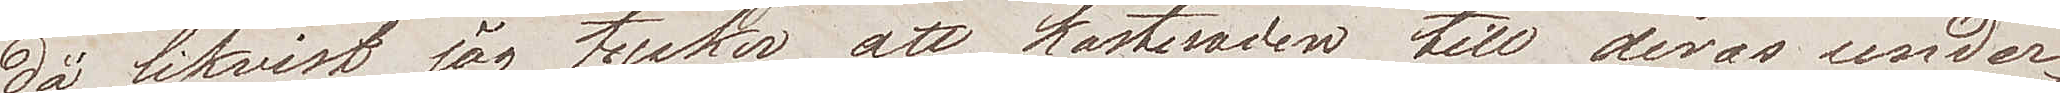då likvist jag tycker att kostnaden till deras under¬
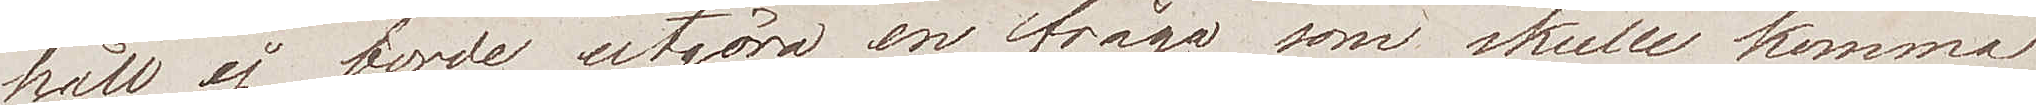håll ej borde utgöra en fråga som skulle komma
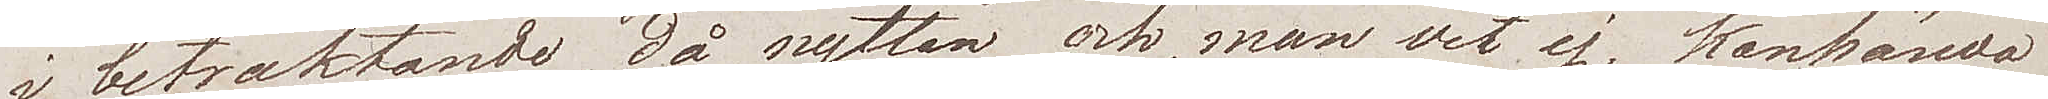i betraktande, då nyttan och, man vet ej. kanhända
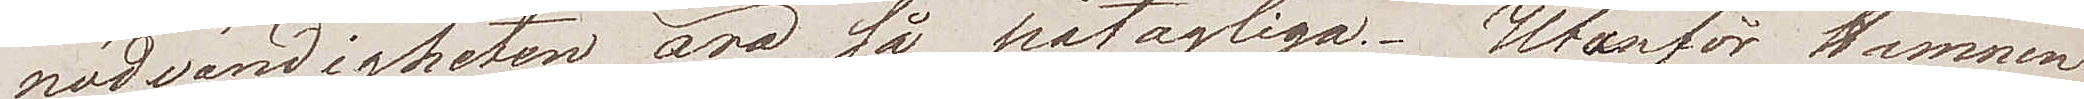nödvändigheten äro så påtagliga. Utanför Hamnen
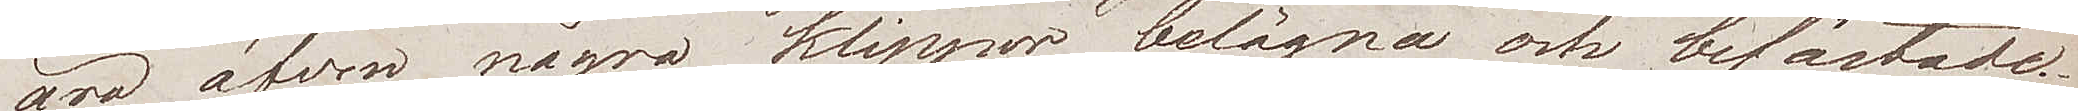äro äfven några klippor belägna och befästade.
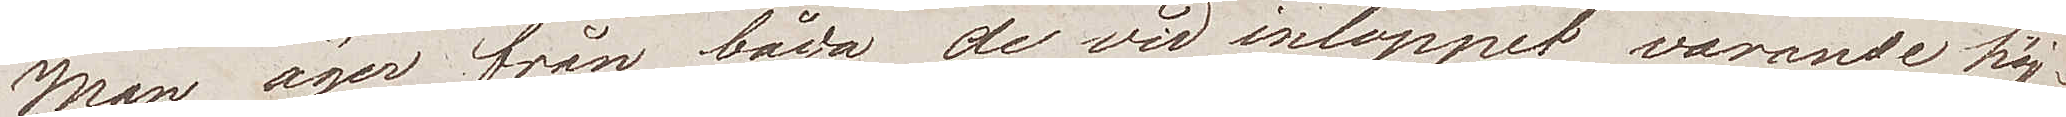Man äger från båda de vid inloppet varande höj¬
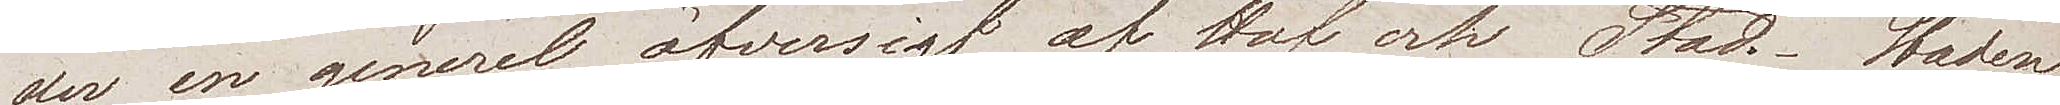der en generel öfversigt af Haf och Stad. Staden
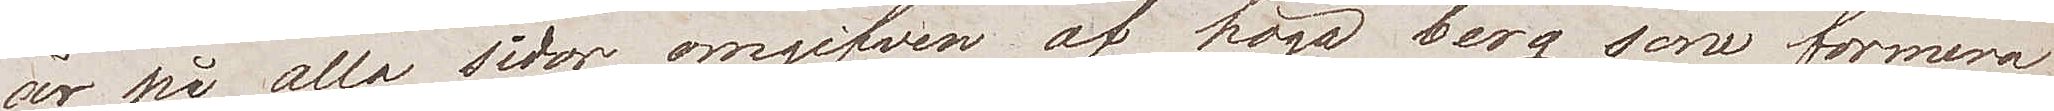är på alla sidor omgifven af höga berg, som formera
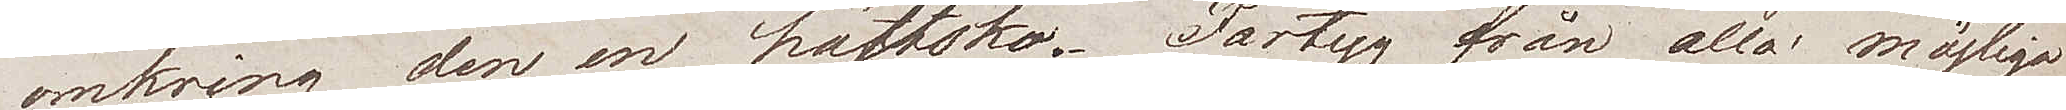omkring den en hästsko. Fartyg från alla möjliga
